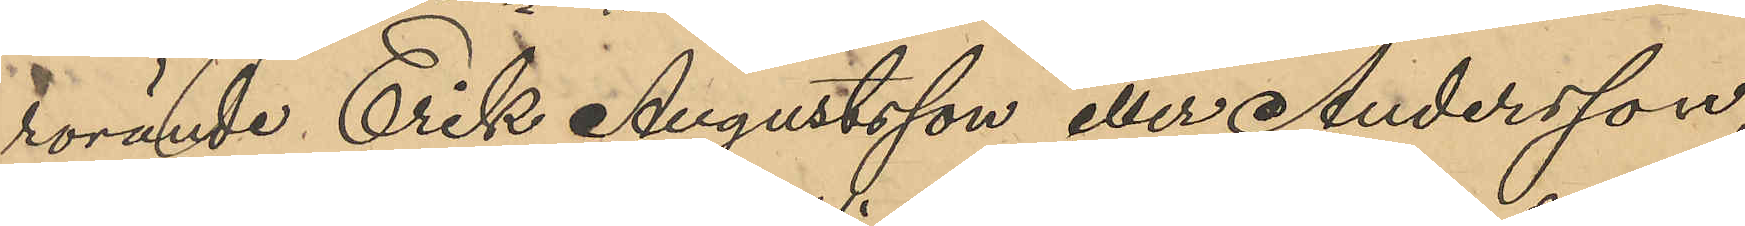rörande Erik Augustsson eller Andersson,
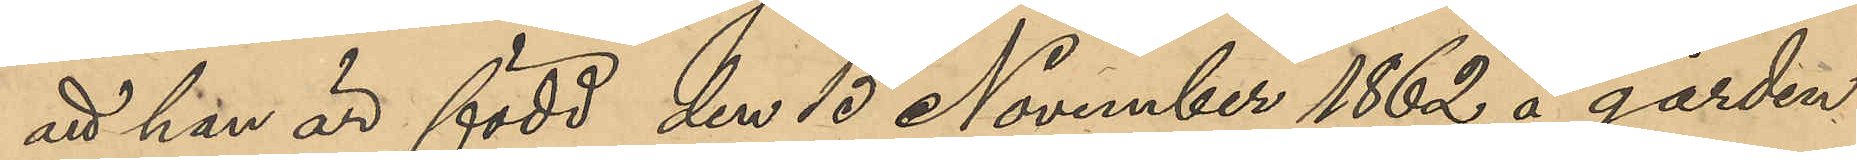att han är född den 15 November 1862 å gården
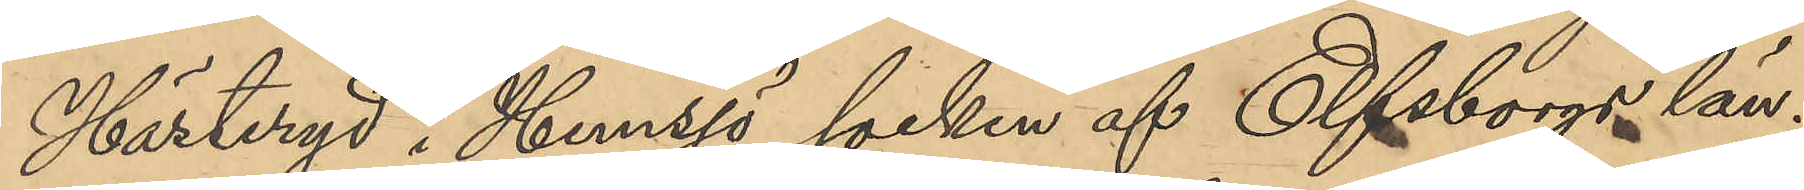Hästeryd i Hemsjö socken af Elfsborgs län;
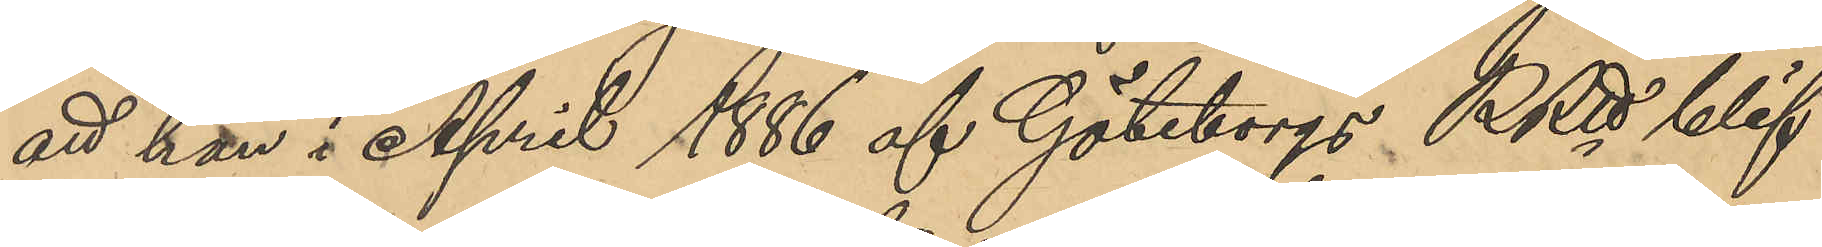att han i April 1886 af Göteborgs RRtt blif¬
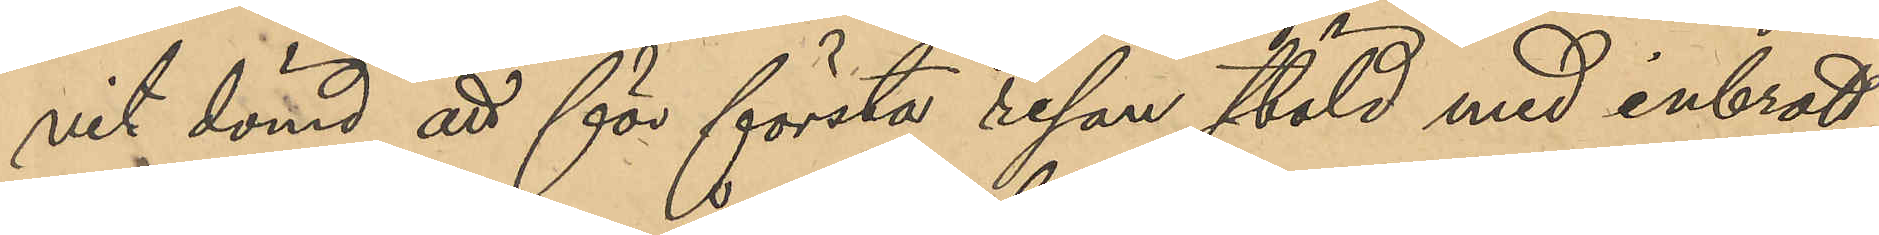vit dömd att för första resan stöld med inbrott
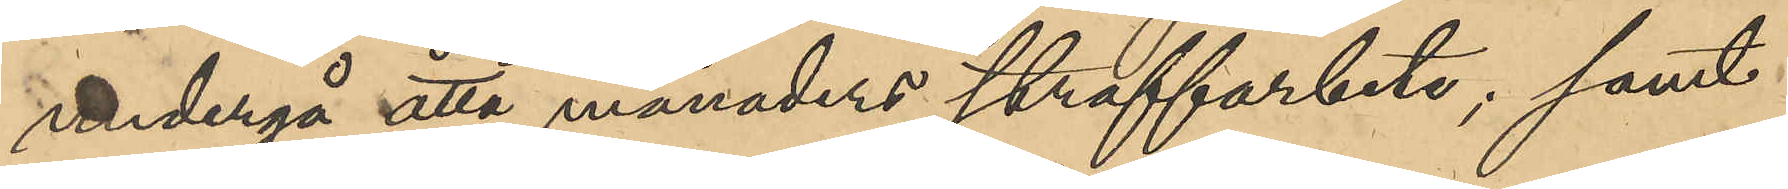undergå åtta månaders straffarbete; samt
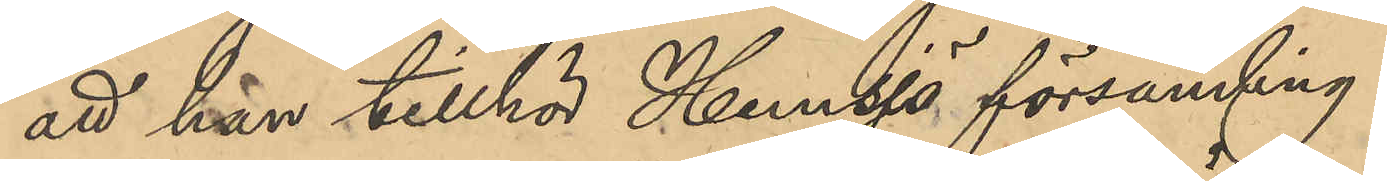att han tillhör Hemsjö församling.
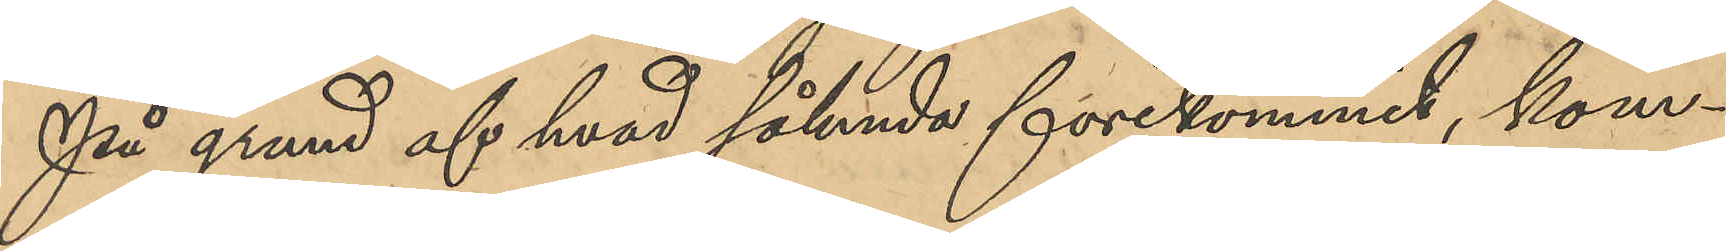På grund af hvad sålunda förekommit, kom¬
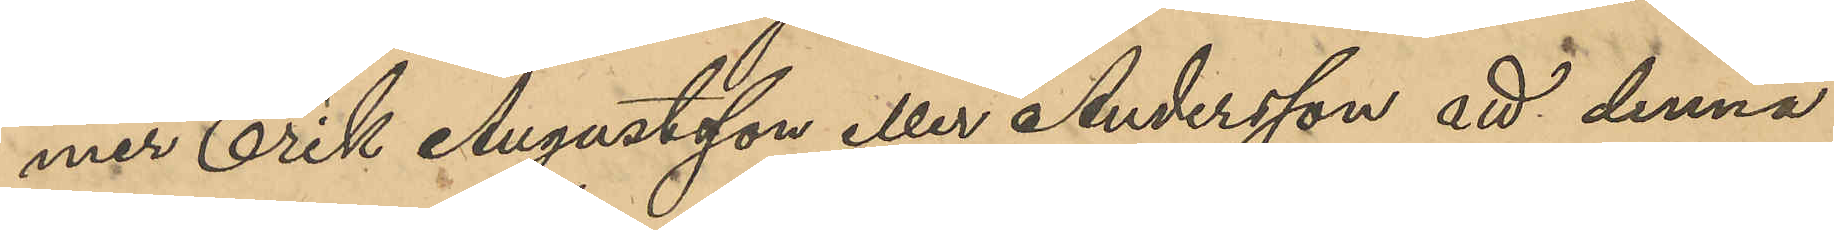mer Erik Augustsson eller Andersson att denna
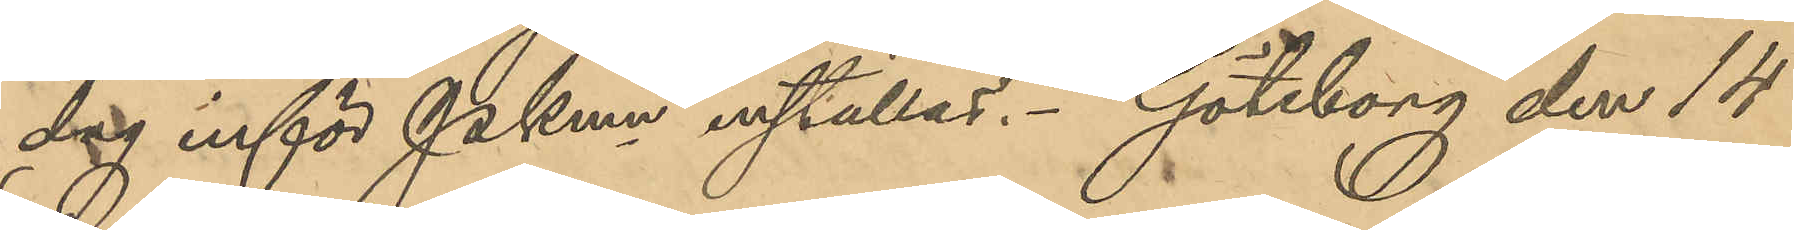dag inför PKmn inställas. Göteborg den 14
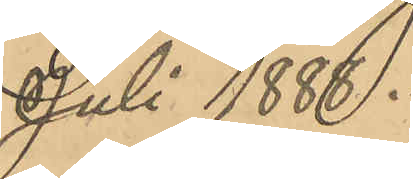Juli 1888.
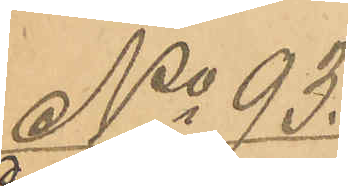No 93
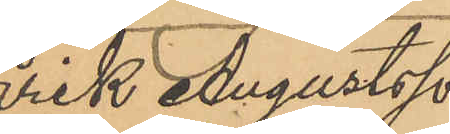Erik Augustsson
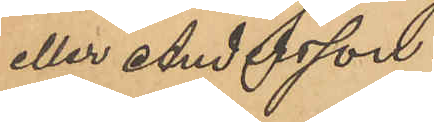eller Andersson.
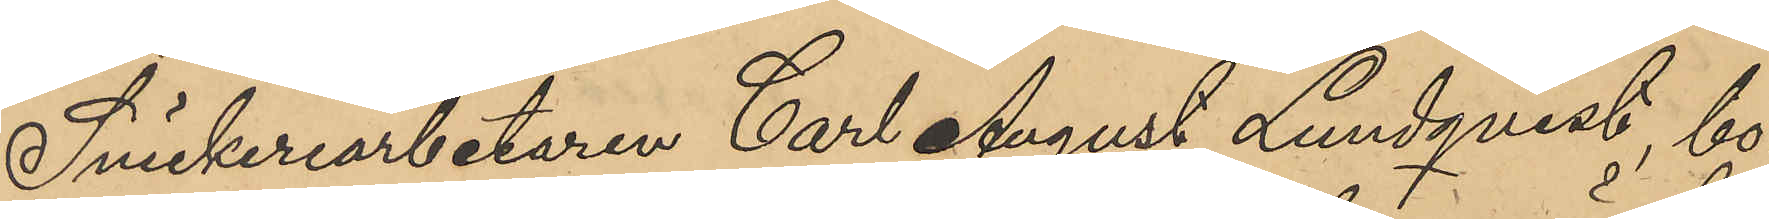Snickeriarbetaren Carl August Lundqvist, bo¬
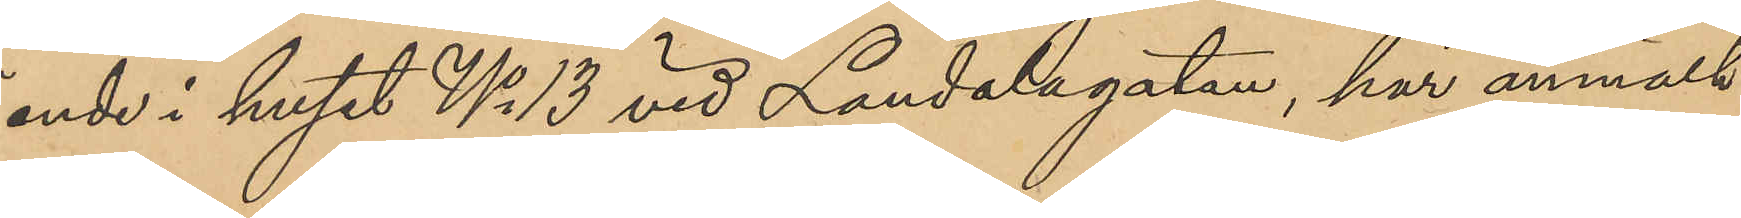ende i huset No 13 vid Landalagatan, har anmält
